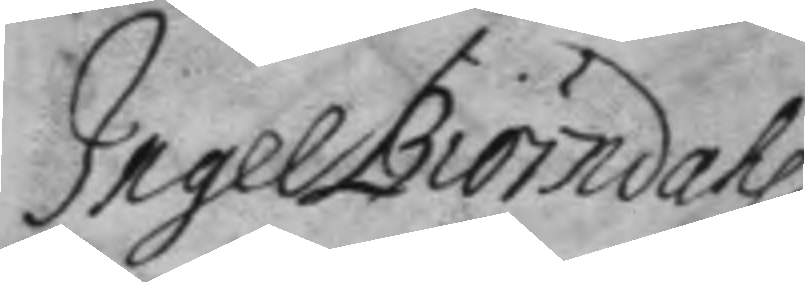Ingel Biörndahl
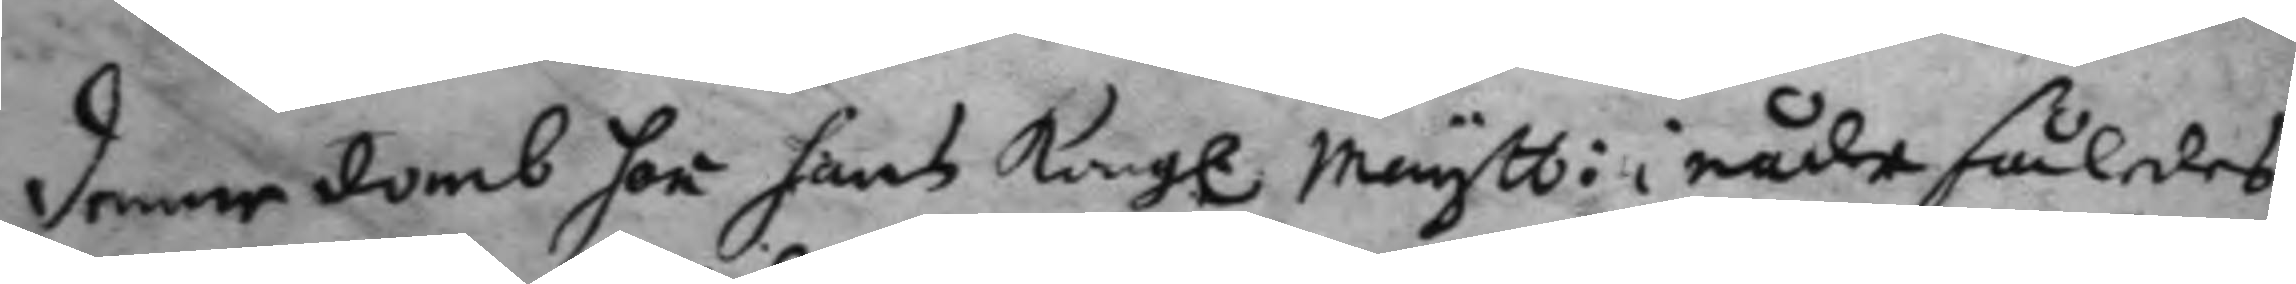denne domb har hans Kong. Maytt: i nåde således
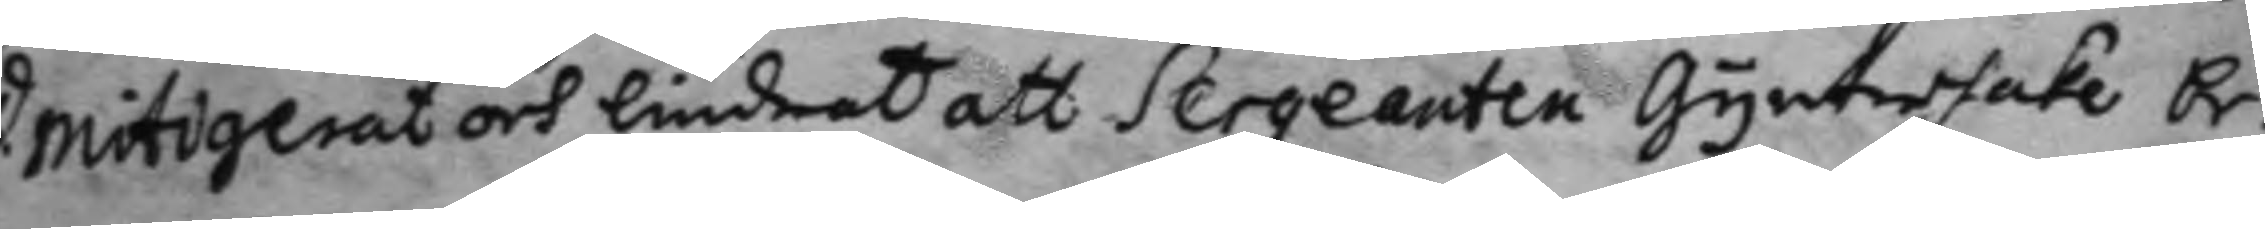mitigerat och lindrat att Serganten Gynterhake be¬
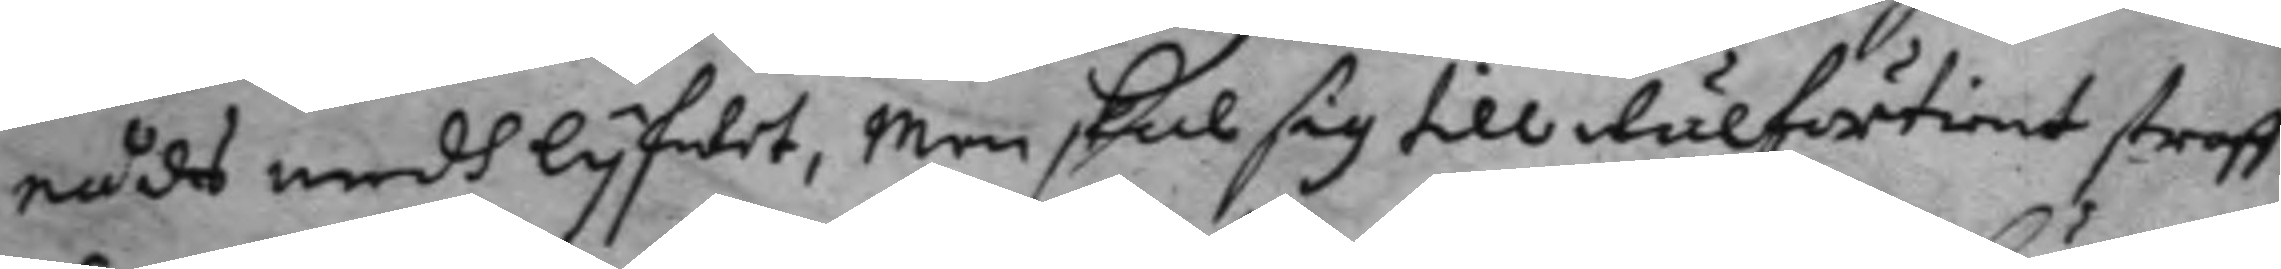nådes medh lyfwet, men skal sig till wälförtient straff
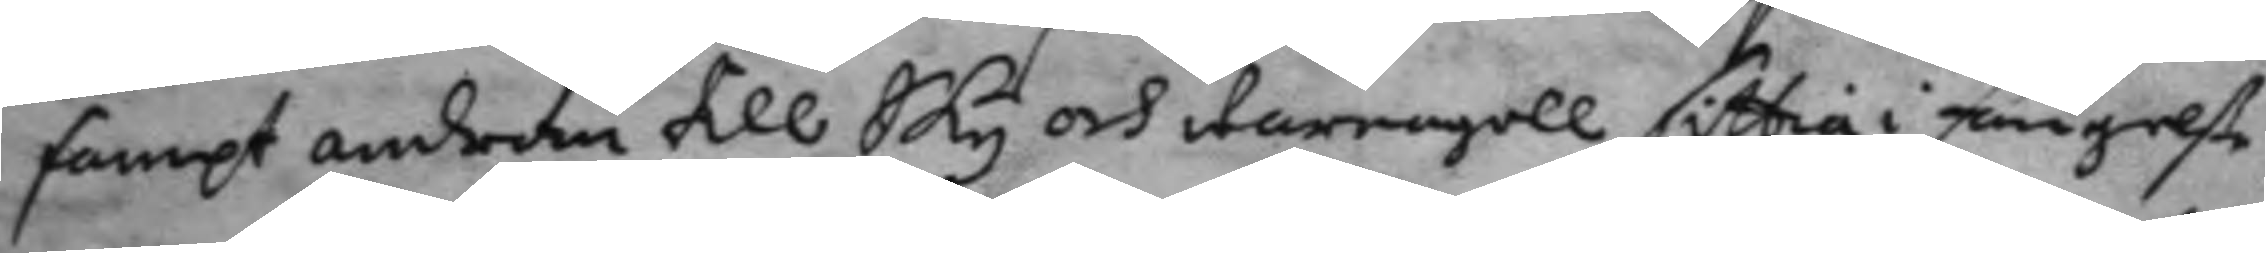sampt androm till Sky och warnagell sittia i fängelße
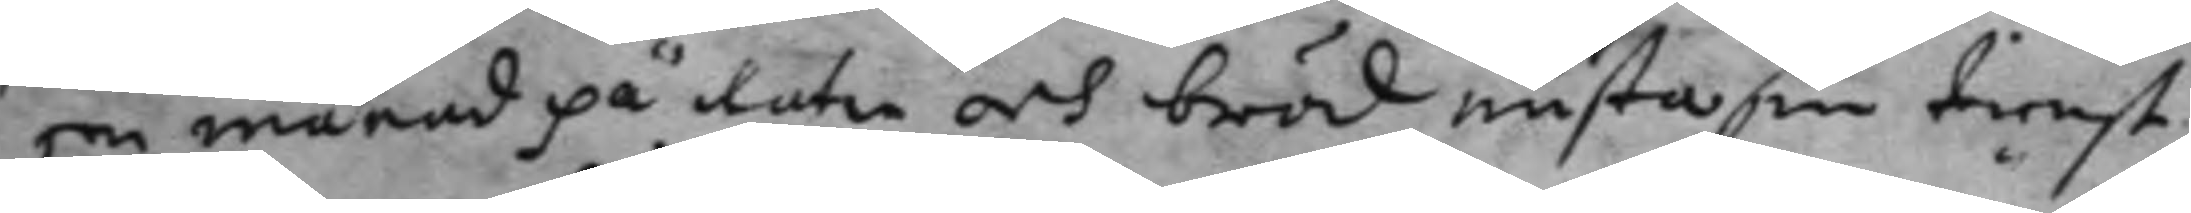een månad på watn och bröd mosta sin tienst
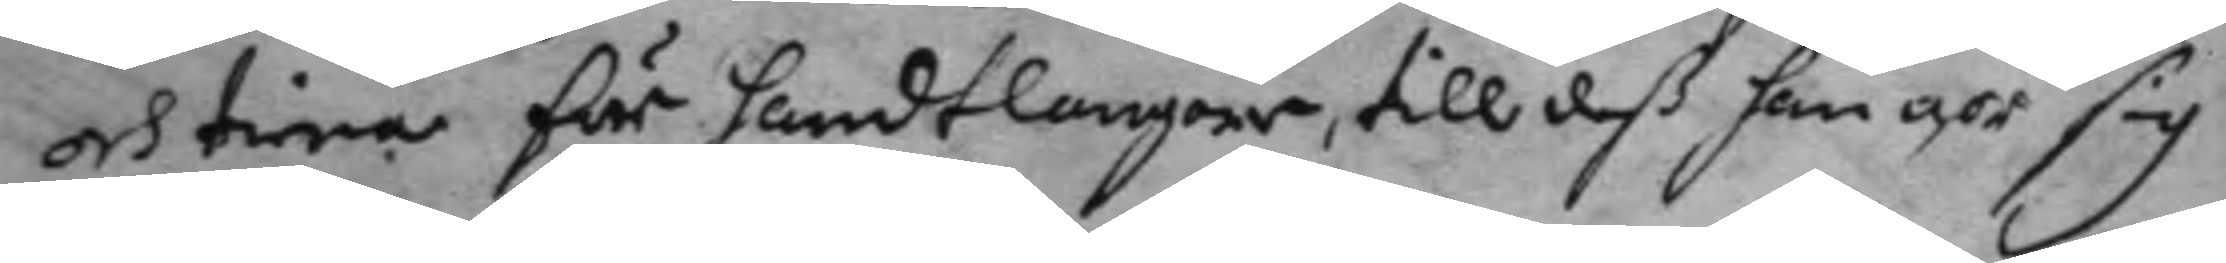och tien för handtlangare, till deß han gör
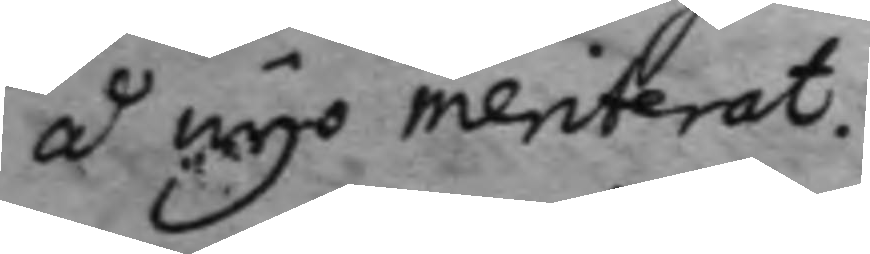sig å nyo meriterat.
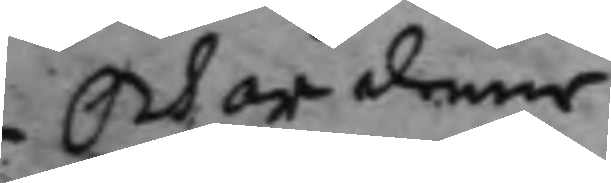Och är denne Resolution publicerat och i sin
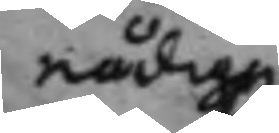nådige
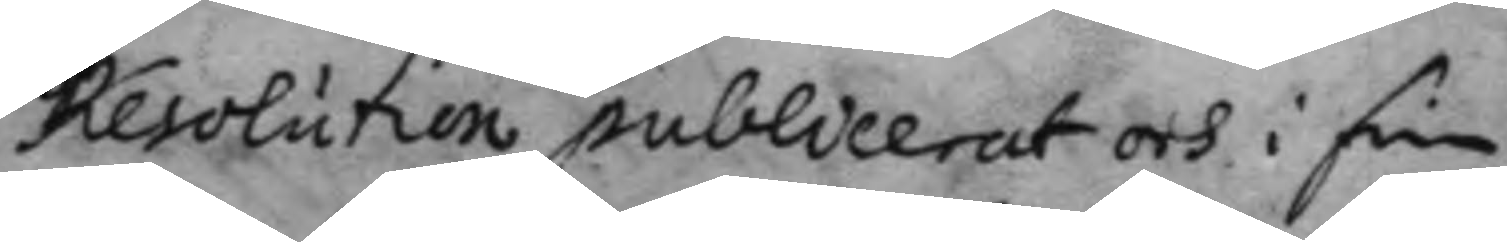Och är denne Resolution publicerat och i sin
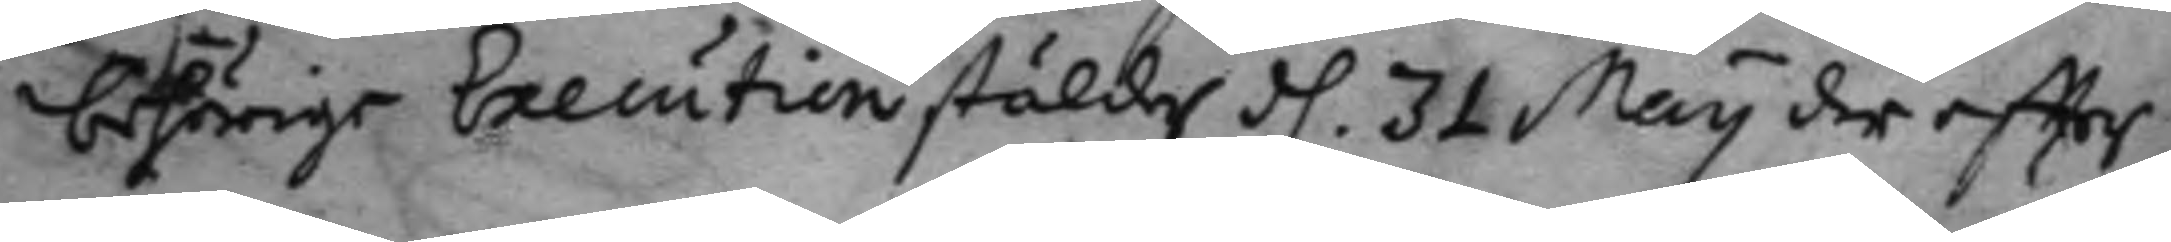behörige Execution stälder d. 31 May der eftter
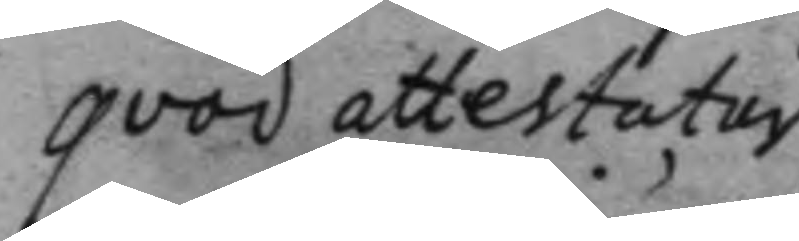qvod attestatur
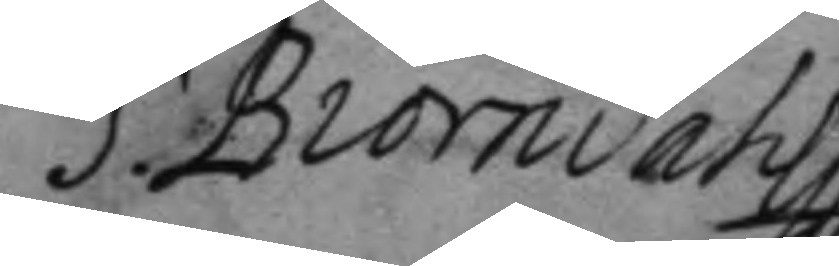J: Biörndahl
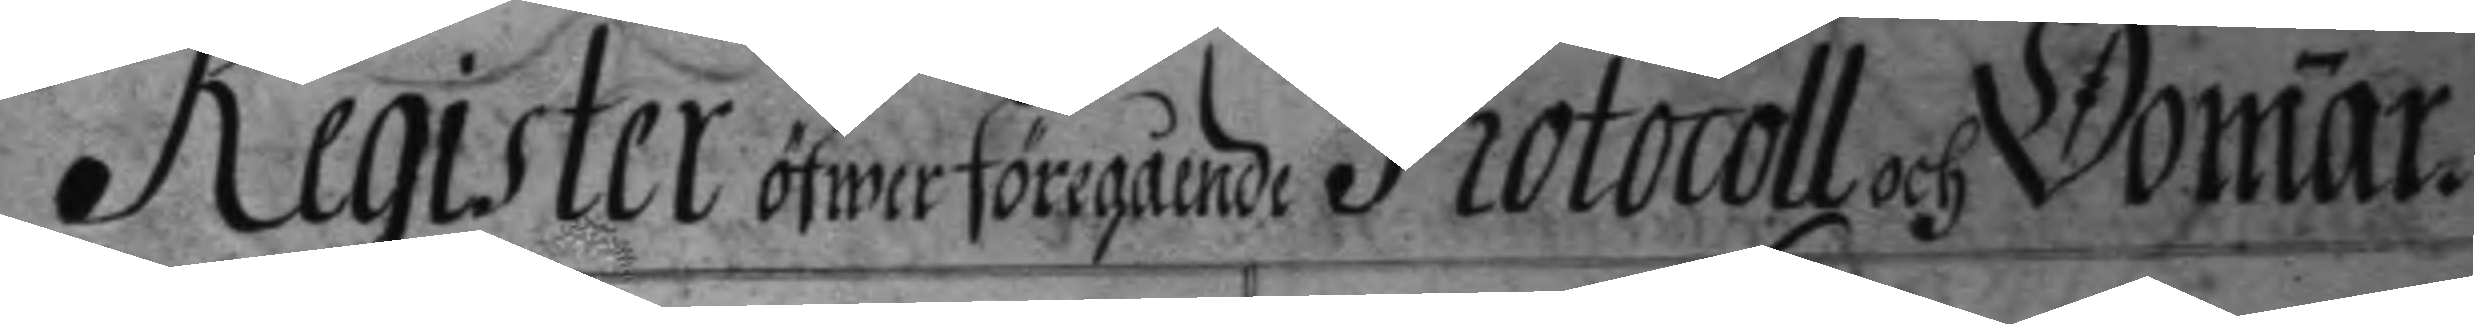Register öfwer föregående Protocoll och domar.
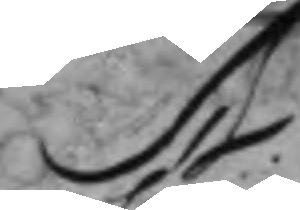A.
